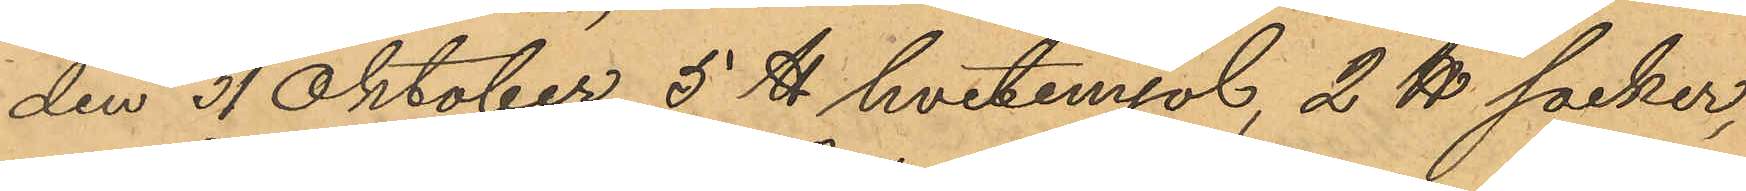den 31 Oktober 5 ℔ hvetemjöl, 2 ℔ socker,
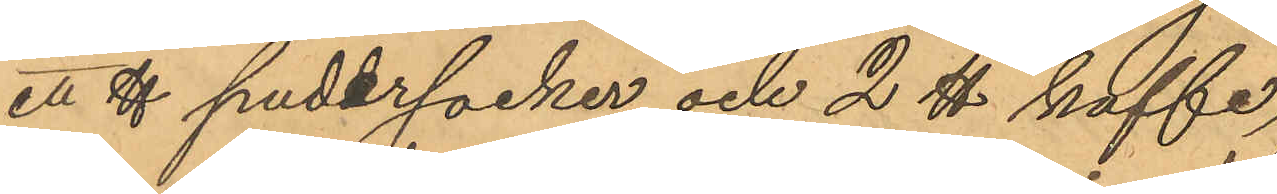ett ℔ pudersocker och 2 ℔ kaffe,
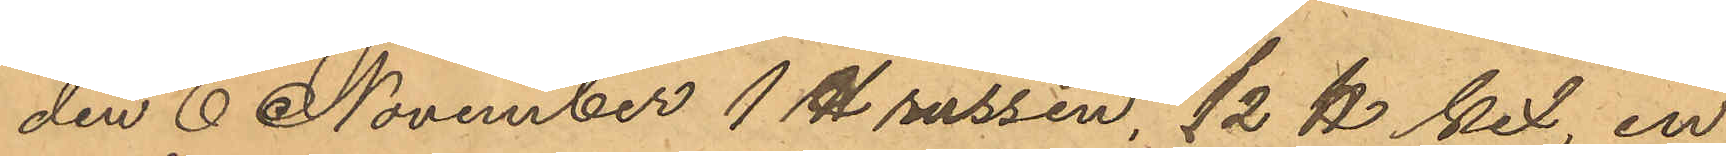den 6 November 1 ℔ russin, 1/2 ℔ kex, en
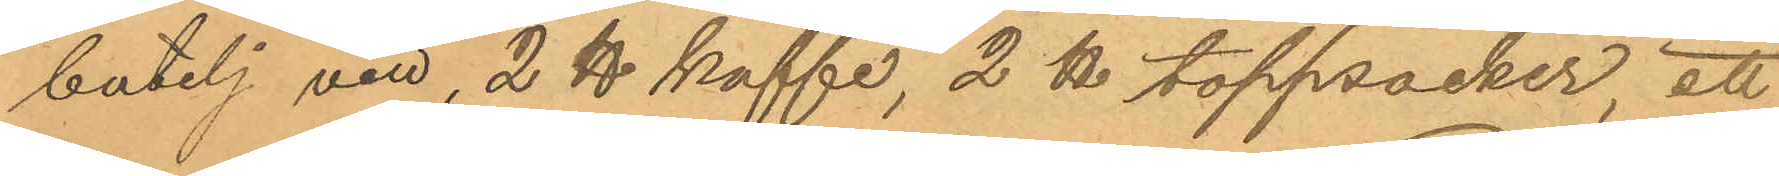butelj vin, 2 ℔ kaffe, 2 ℔ toppsocker, ett
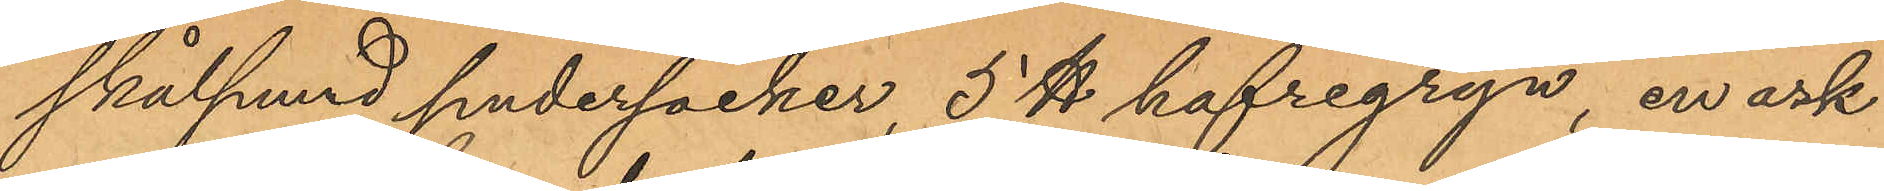skålpund pudersocker, 5 ℔ hafregryn, en ask
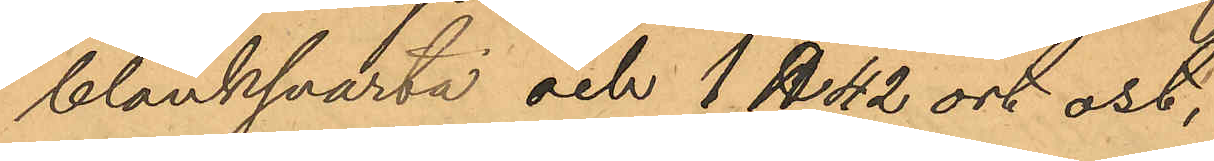blanksvarta och 1 ℔ 42 ort ost,
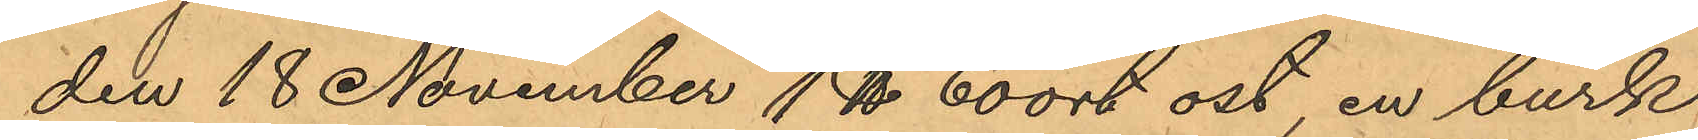den 18 November 1 ℔ 60 ort ost, en burk
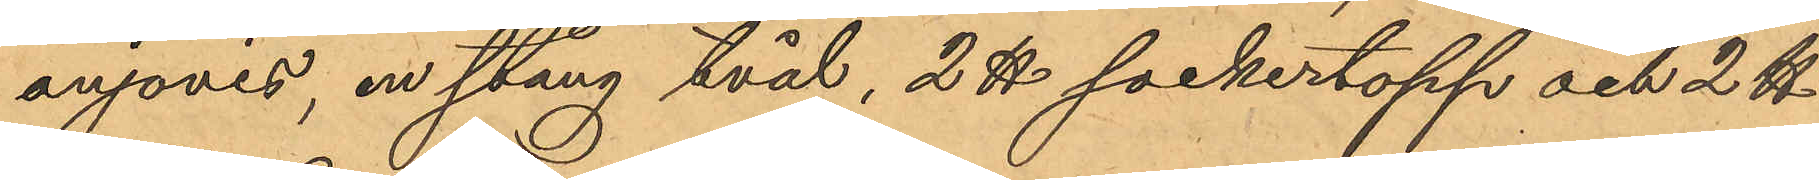anjovis, en stång tvål, 2 ℔ sockertopp och 2 ℔
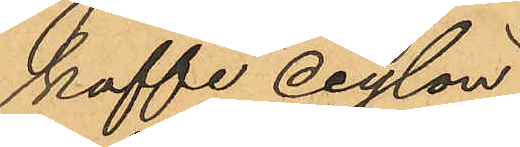kaffe ceylon,
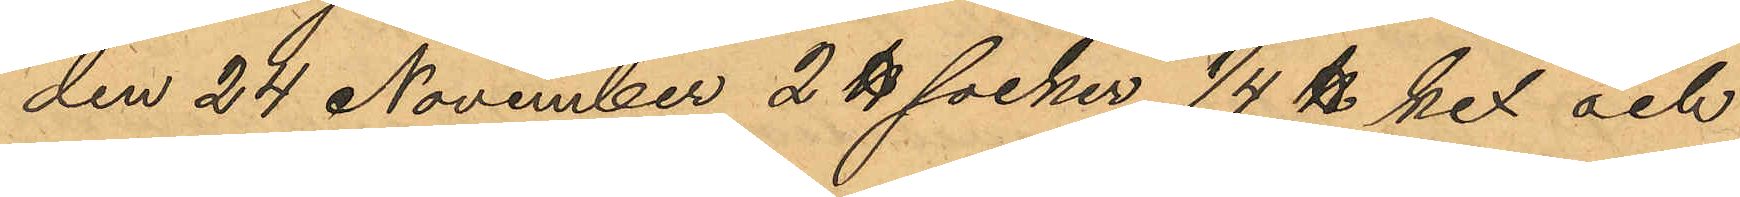den 24 November 2℔ socker, 1/4 ℔ kex och
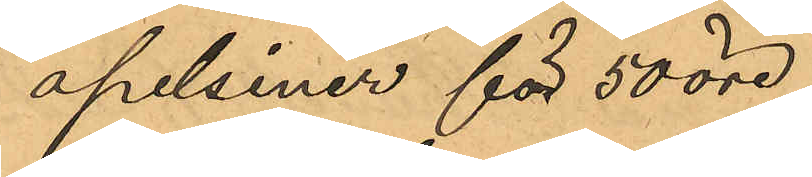apelsiner för 50 öre,
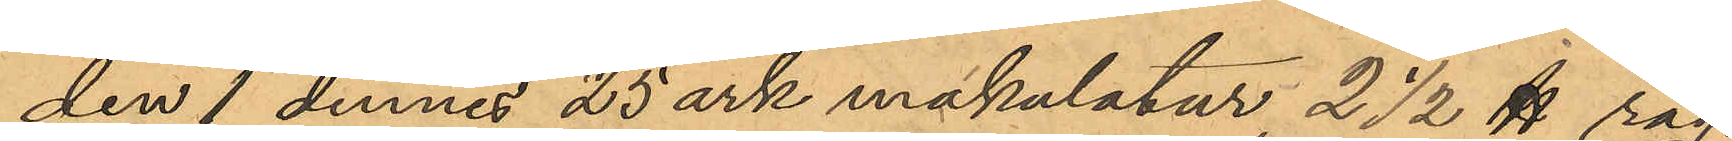den 1 dennes 25 ark makulatur 2 1/2 ℔ råg¬
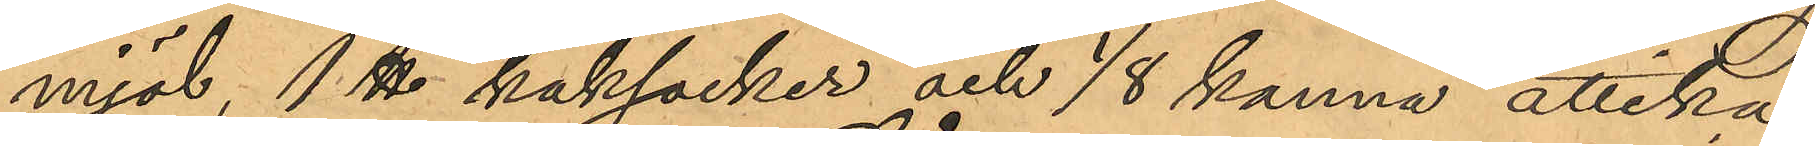mjöl, 1. ℔ kaksocker och 1/8 kanna ättika
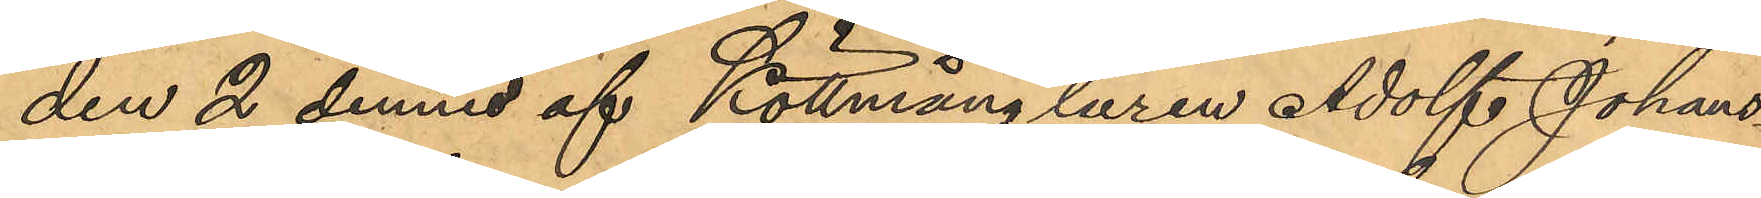den 2 dennes af Köttmånglaren Adolf Johans¬
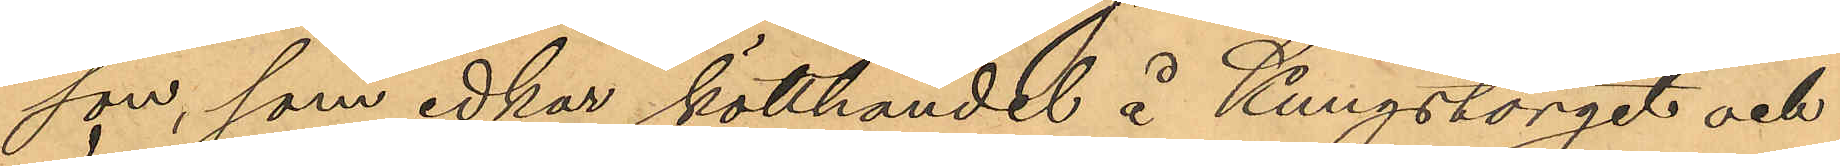son, som idkar kötthandel å Kungstorget och
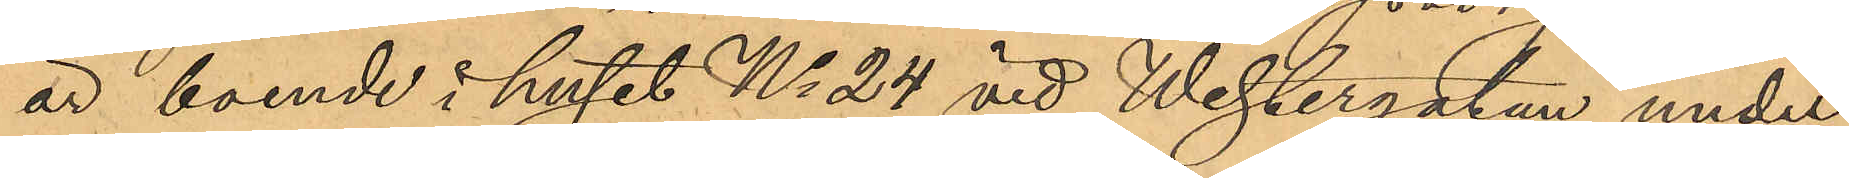är boende i huset No 24 vid Westergatan under
